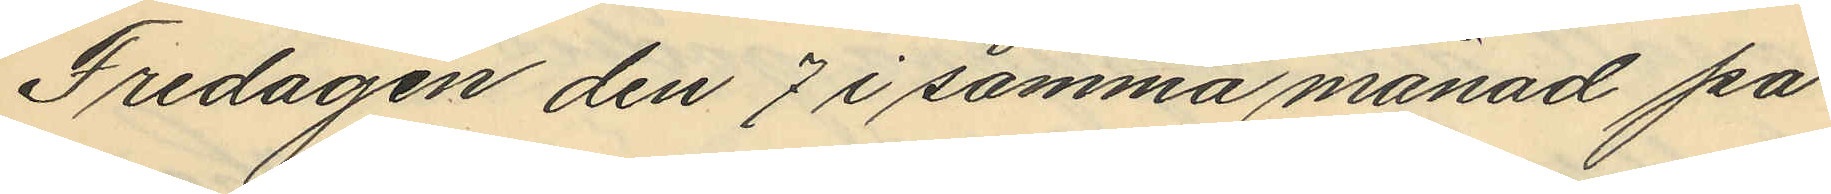Fredagen den 7 i samma månad på
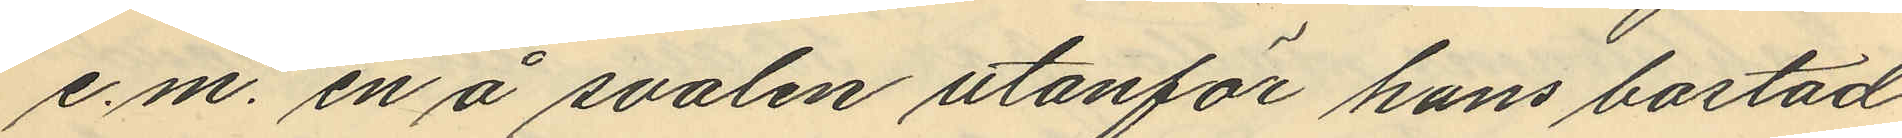e.m. en å svalen utanför hans bostad
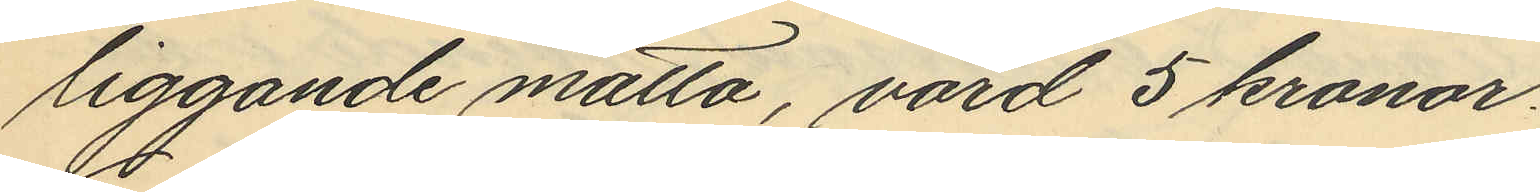liggande matta, värd 5 kronor.
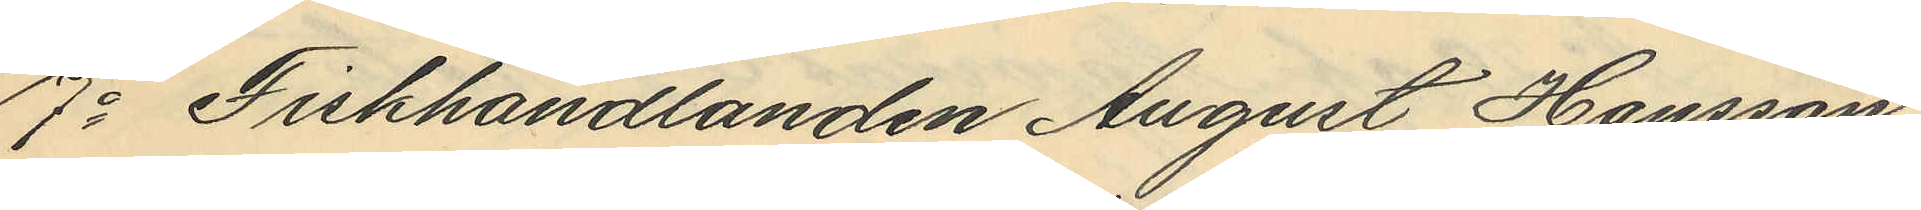7o Fiskhandlanden August Hansson
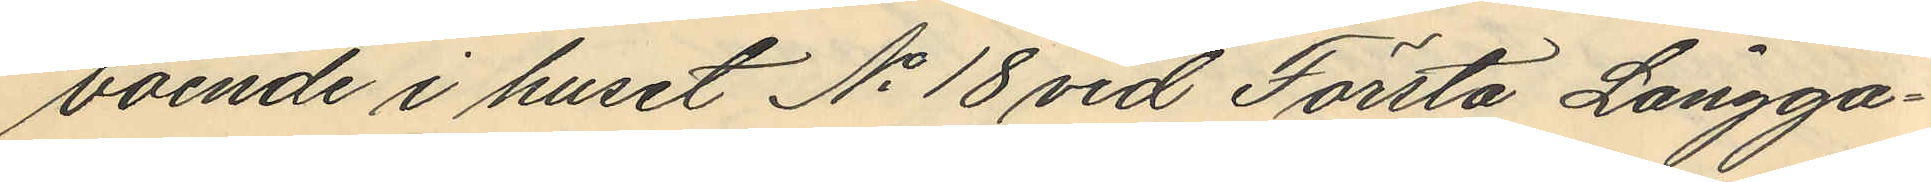boende i huset No 18 vid Första Långga¬
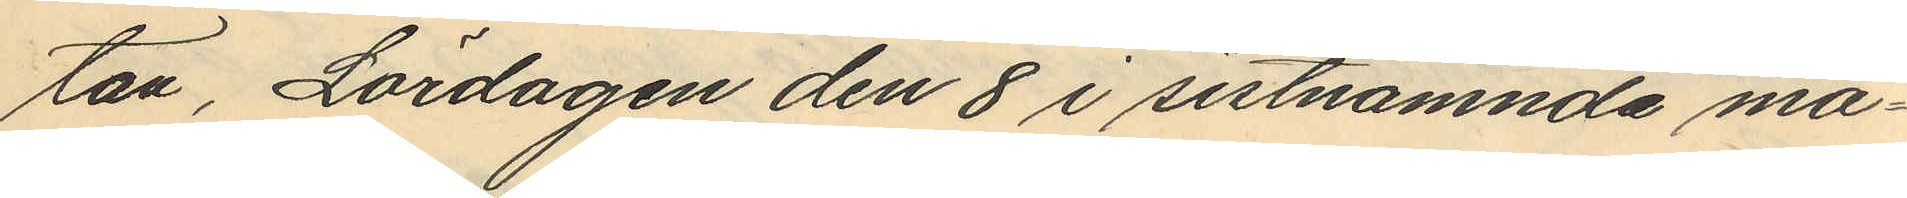tan, Lördagen den 8 i sistnämnde må¬
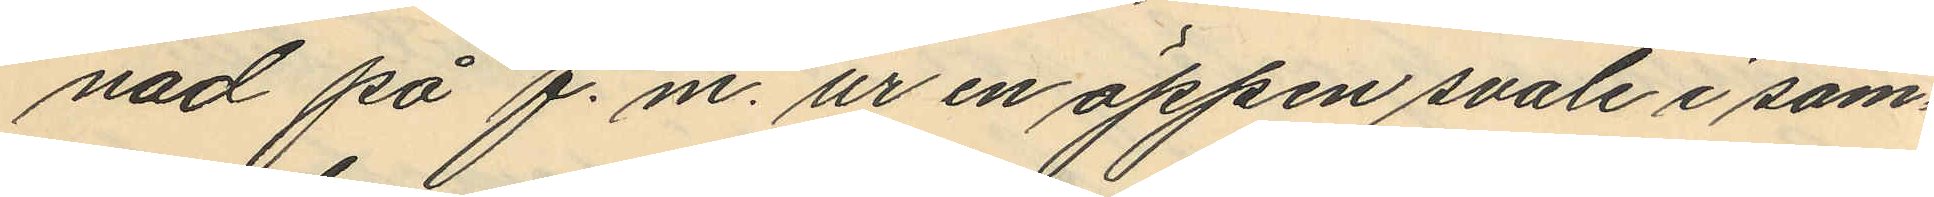nad på f.m. ur en öppen svale i sam¬
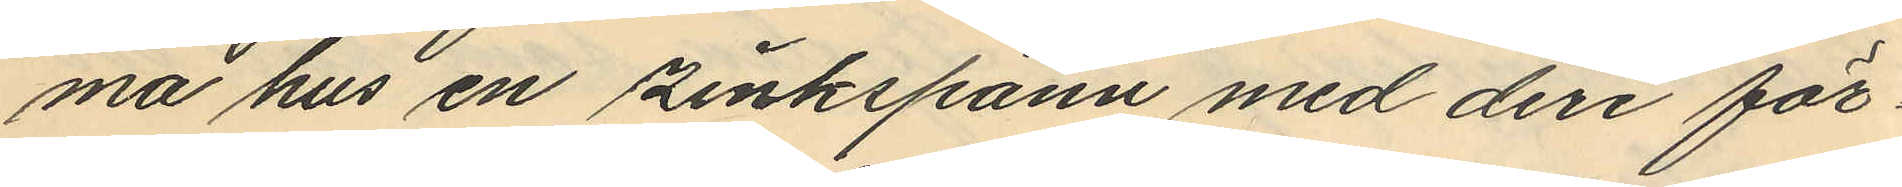ma hus en zinkspann med deri för¬
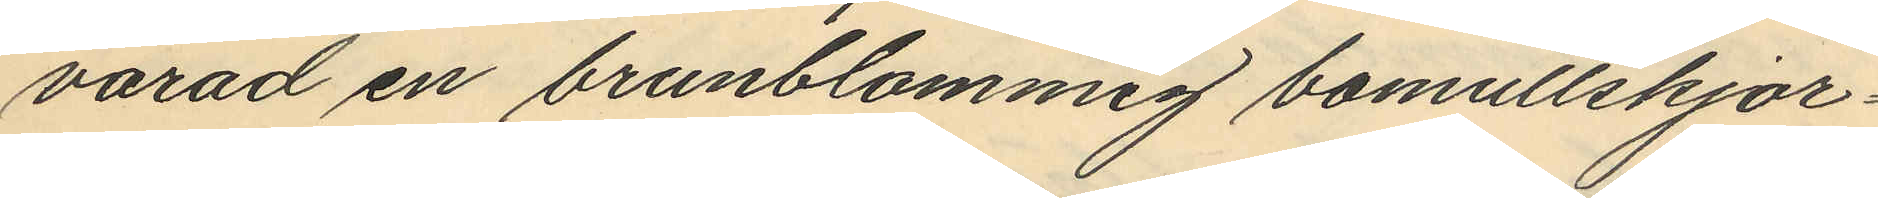varad en brunblommig bomullskjor¬
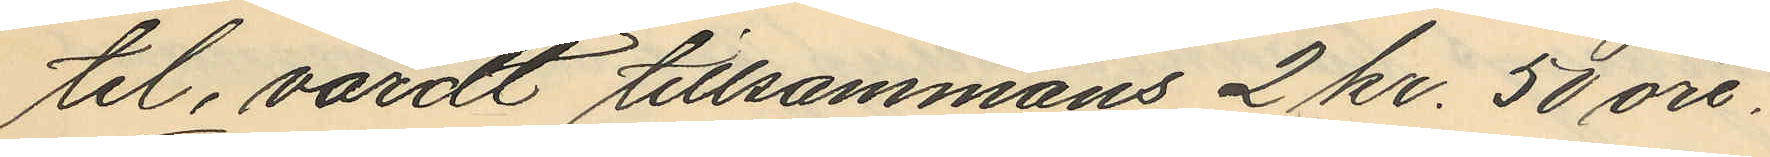tel, värdt tillsammans 2 kr. 50 öre;
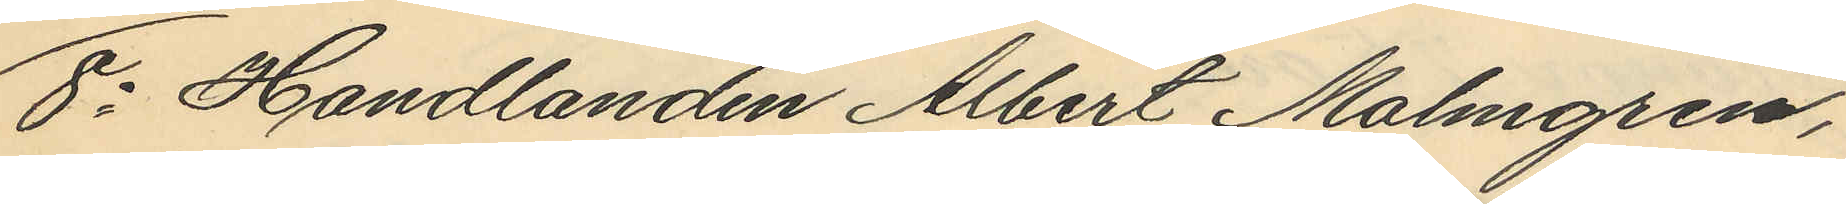8o Handlanden Albert Malmgren,
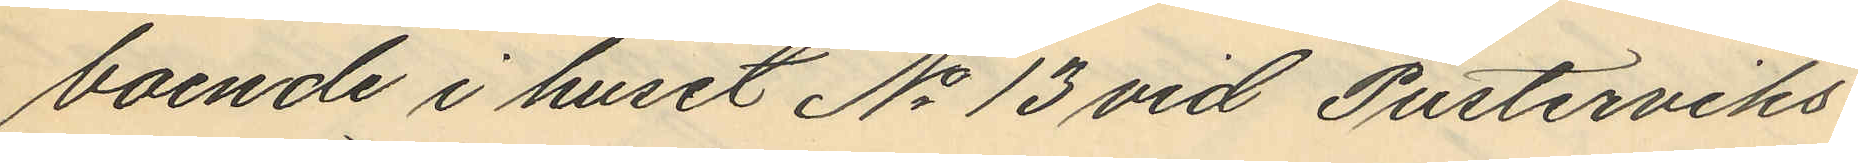boende i huset No 13 vid Pusterviks¬
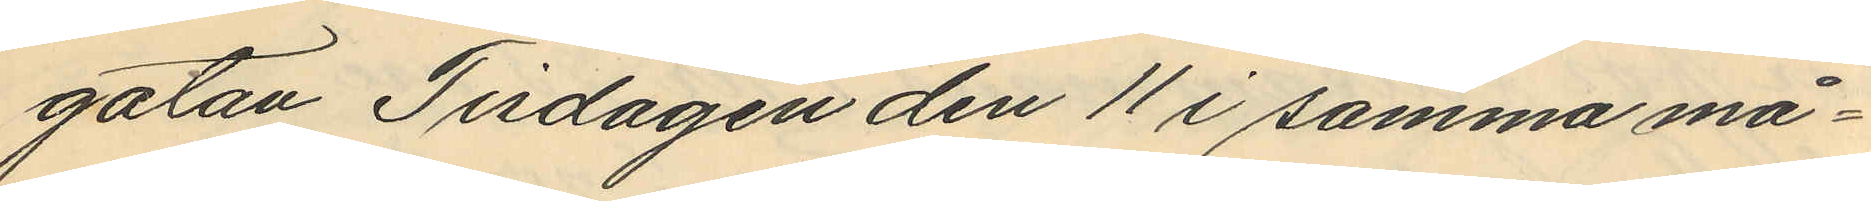gatan Tisdagen den 11 i samma må¬
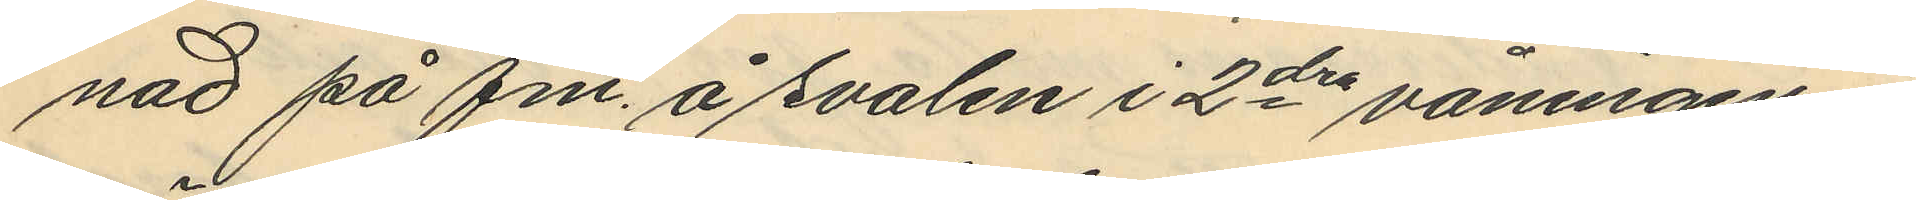nad på fm. å svalen i 2dra våningen i
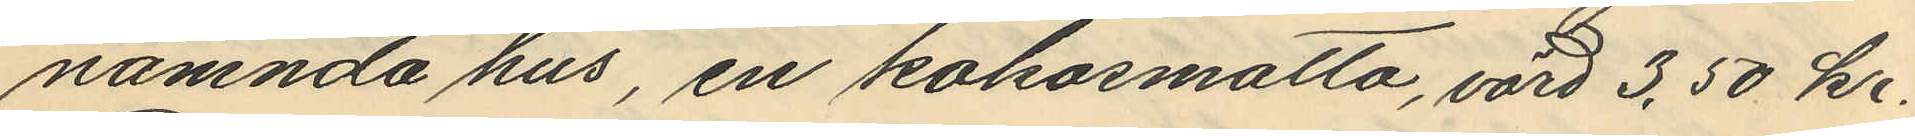nämnda hus, en kokosmatta, värd 3,50 kr.
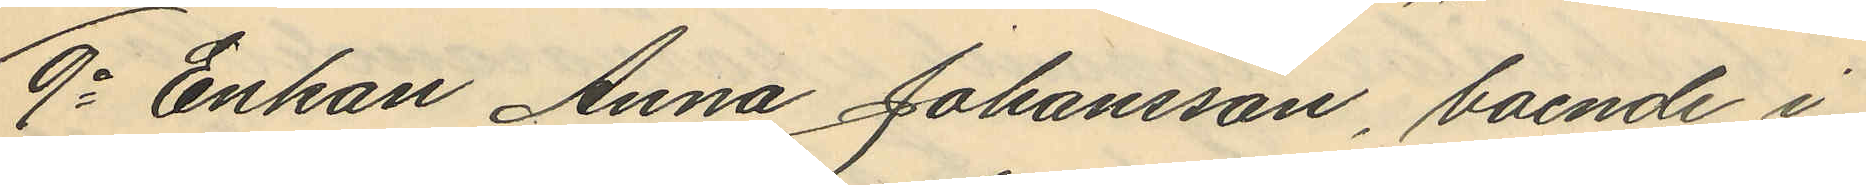9o Enkan Anna Johansson, boende i
